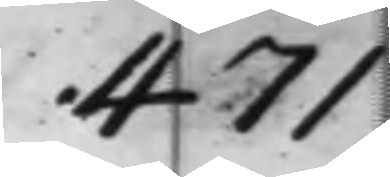471
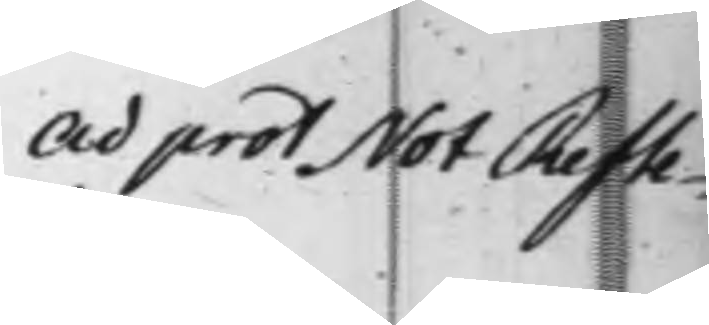ad prot Not Refte¬
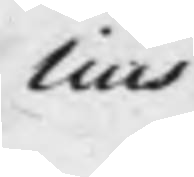lius
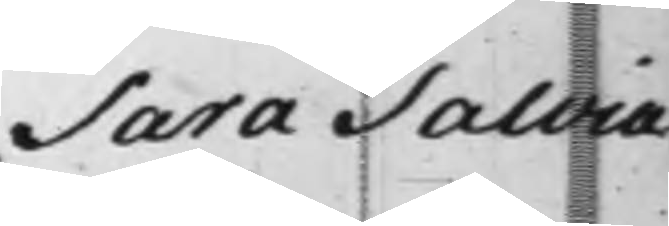Sara Salvia 
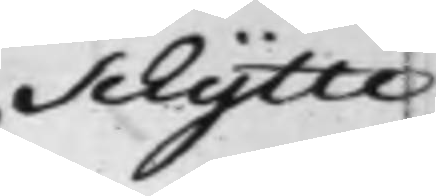Schytte
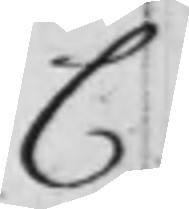C
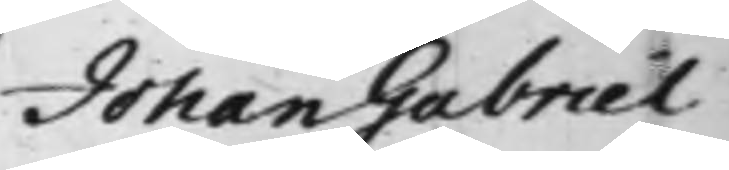Johan Gabriel
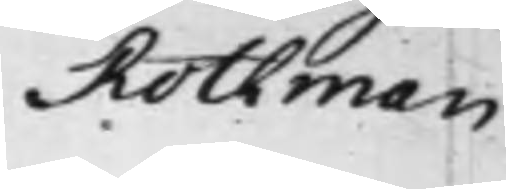Rothman
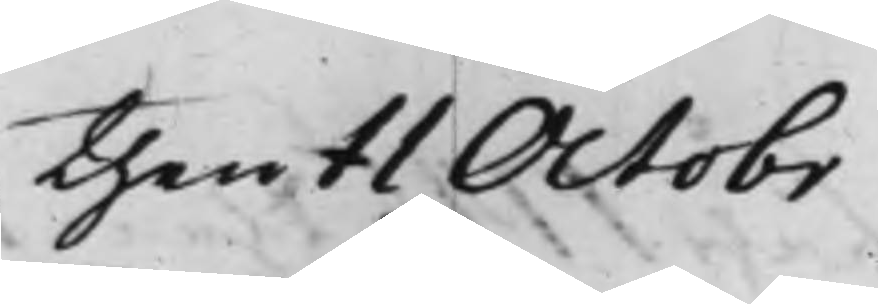then 11 Octobr
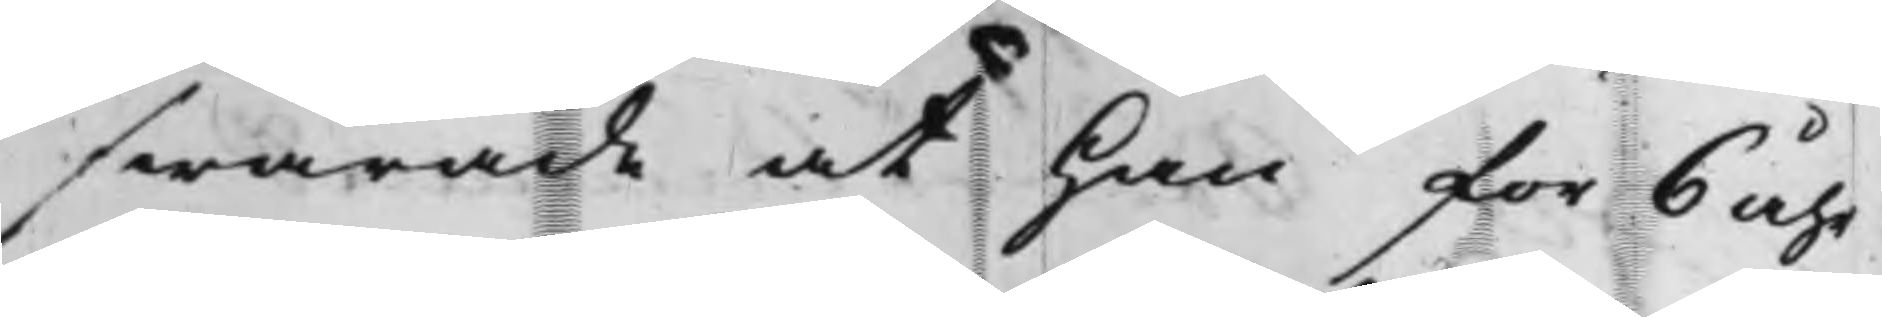swarade at han för 6 åhr
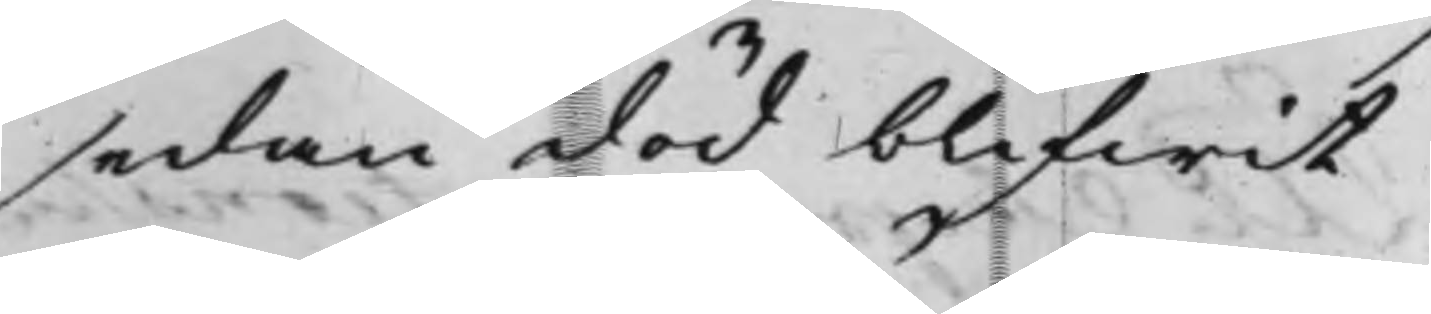sedan död blifwit
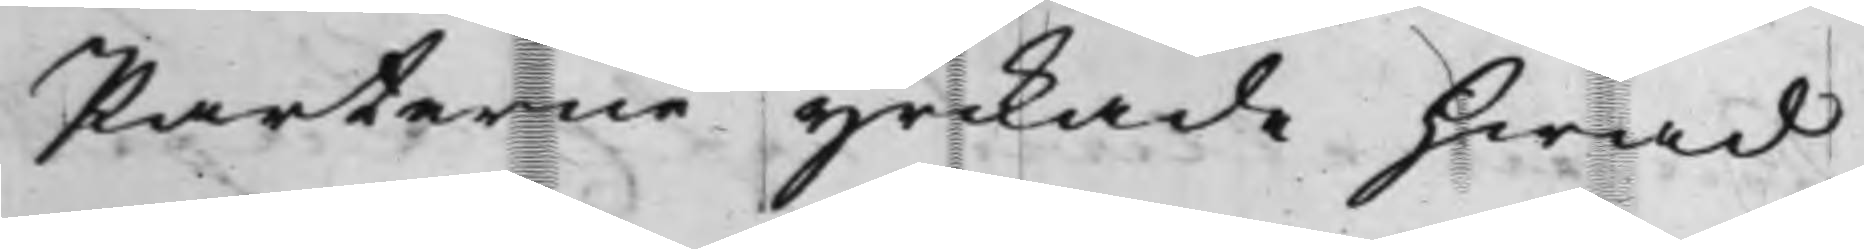Parterne yrkade hwad
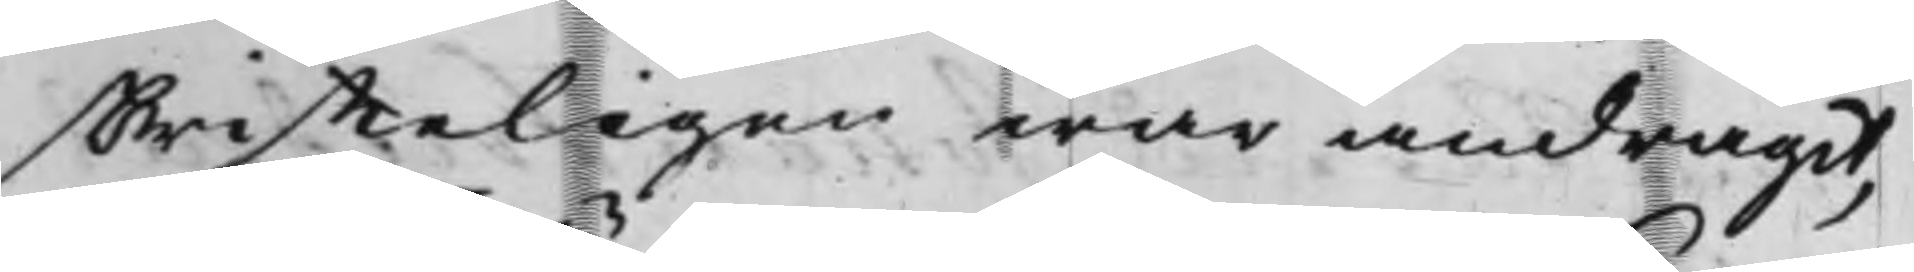skriffteligen war andragit,
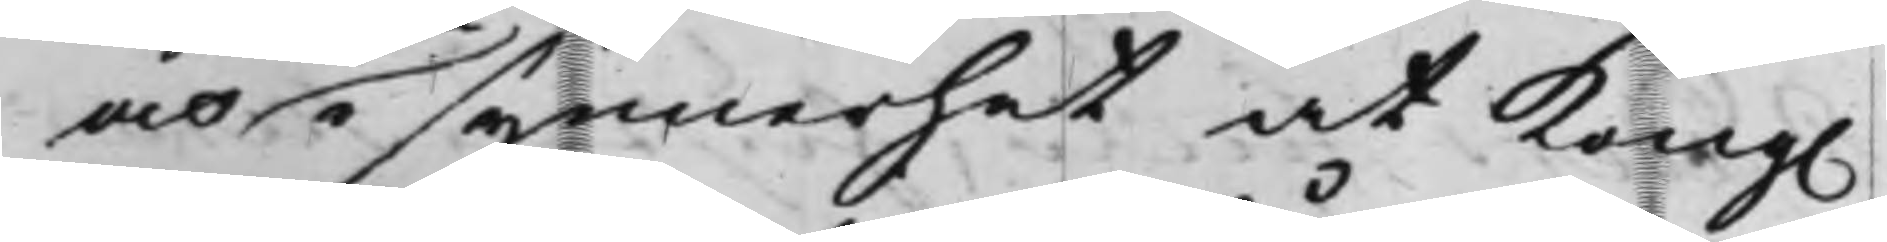och i synnerhet at Kong.
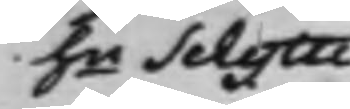hu Schytte
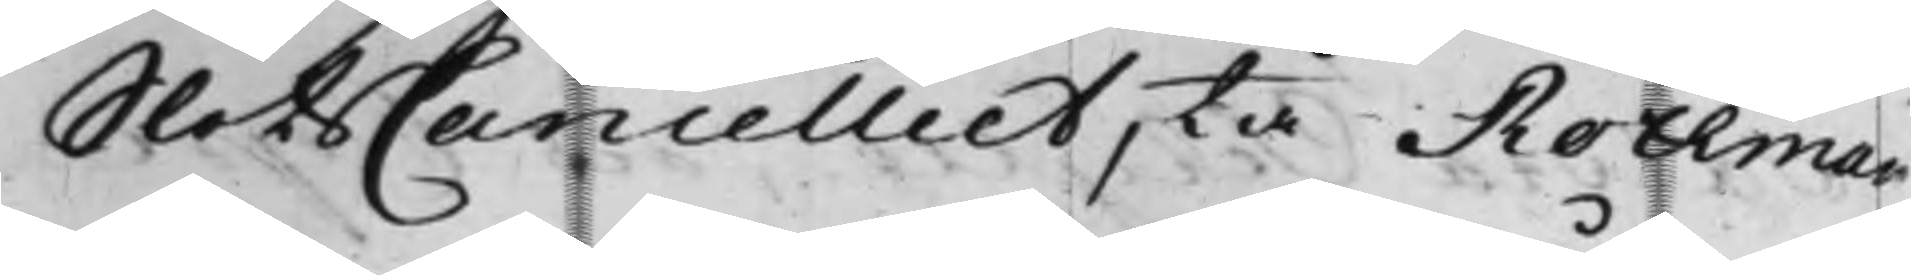SlotsCancelliet, tå Rothman
